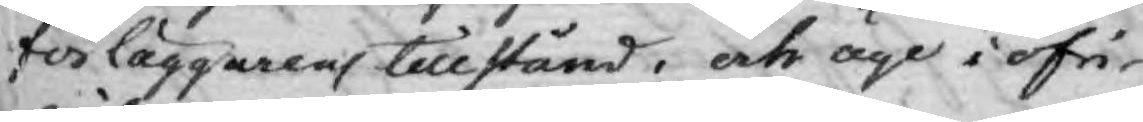förläggarens tillstånd; och äge i öfri¬
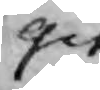git.
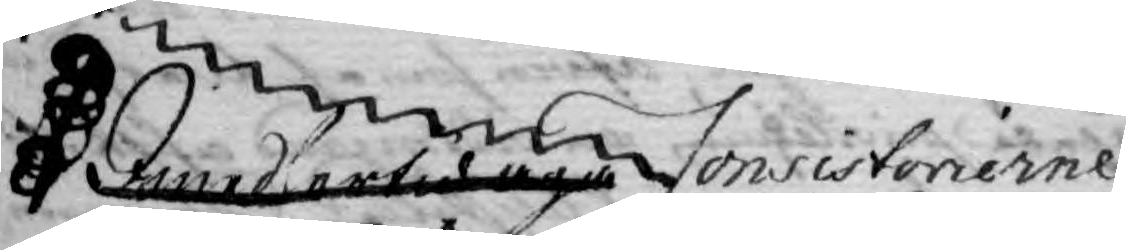Imidlertid äga Consistorierne
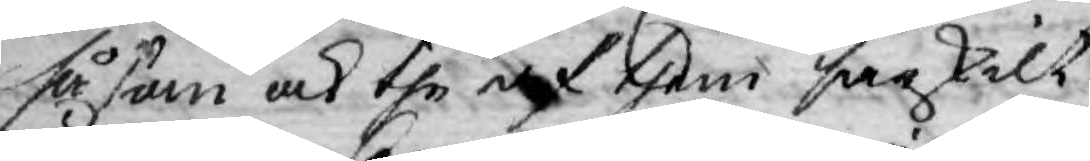såsom och the af them särskilt
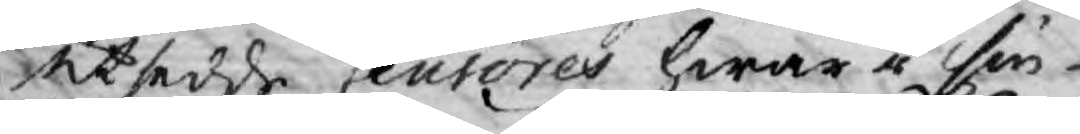utsedd Censores hvare i sin
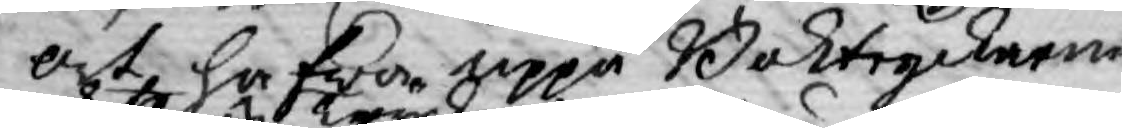ort, hafwer uppå Boktryckaren
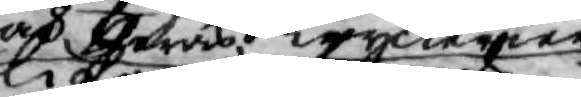af deras tryckerier
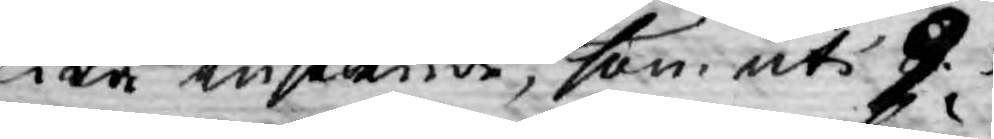lika inseende, som uti 9. §. 
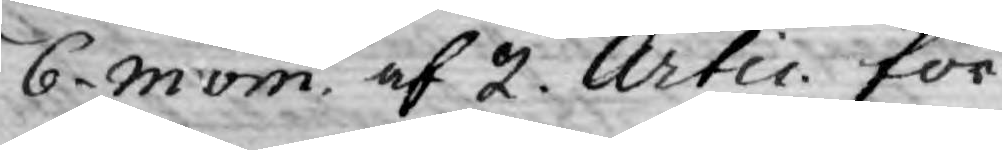6. mom. af 2. Artic. för
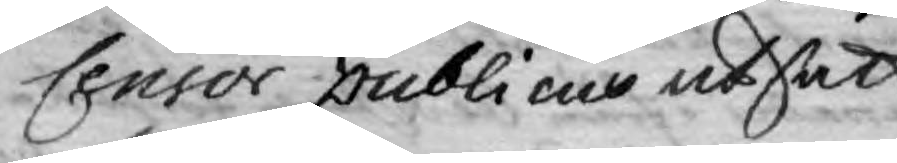Censor publicus utsatt
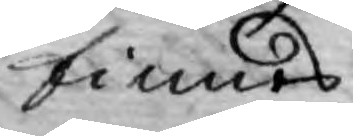finnes.
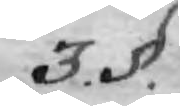3. §.
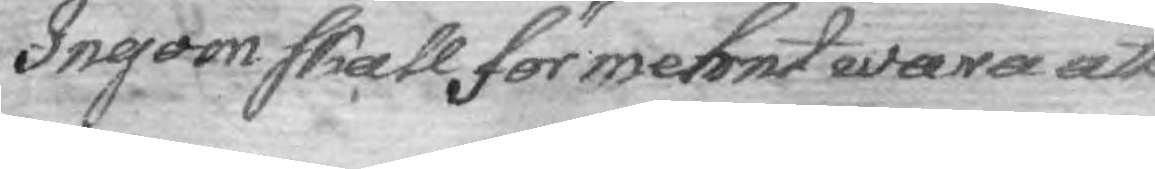Ingom skall för menht wara att
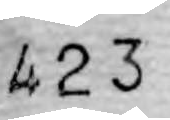423
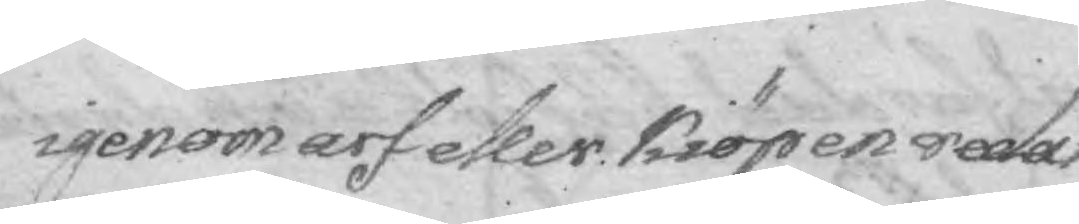igenom arf eller kiöp en redan
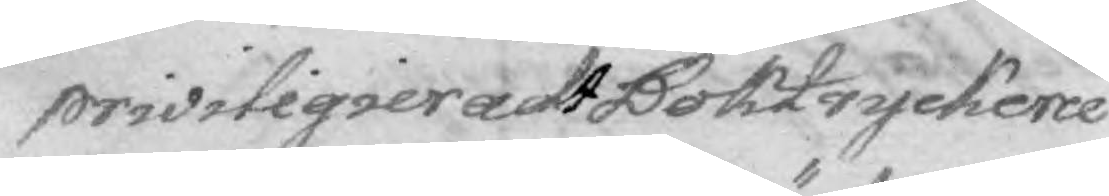priviligieradt Boktryckerie
